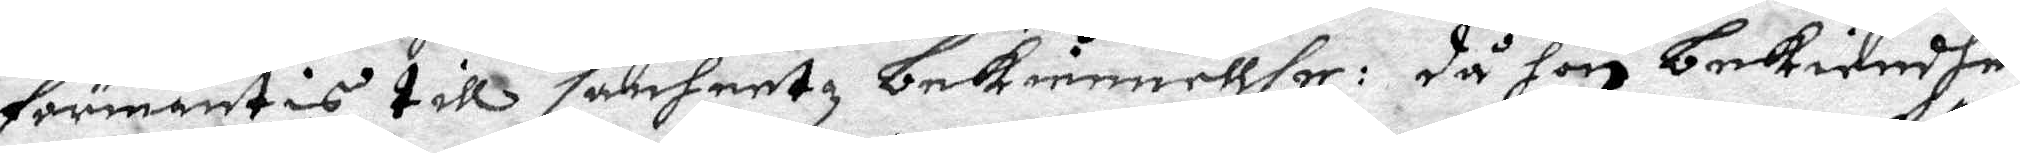förmantis till sanheetz bekiennellse: då hon bekiendhe
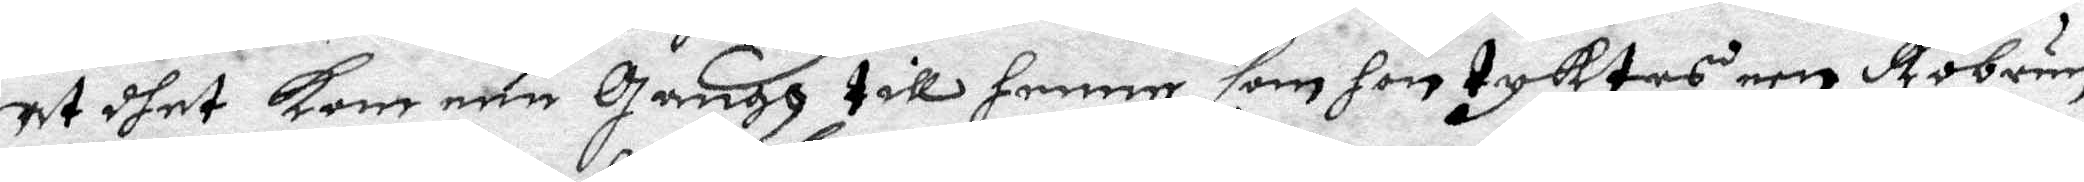at dhet kom een gangh till henne som hon tyktes een Röbrun
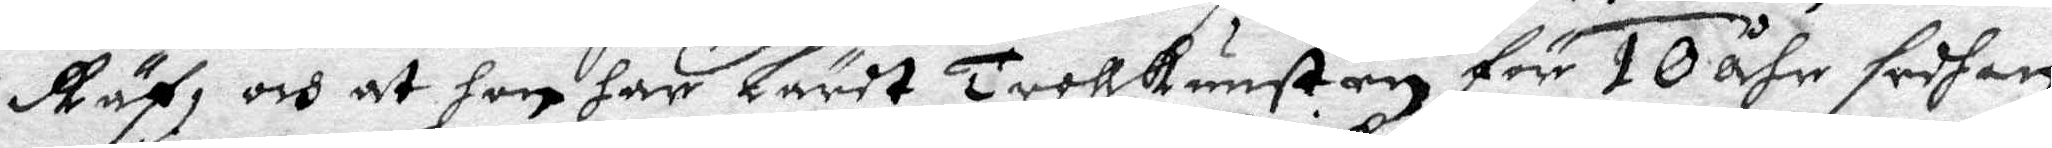Räf, och at hon har Lärdt Trollkunsten för 10 åhr sedhan
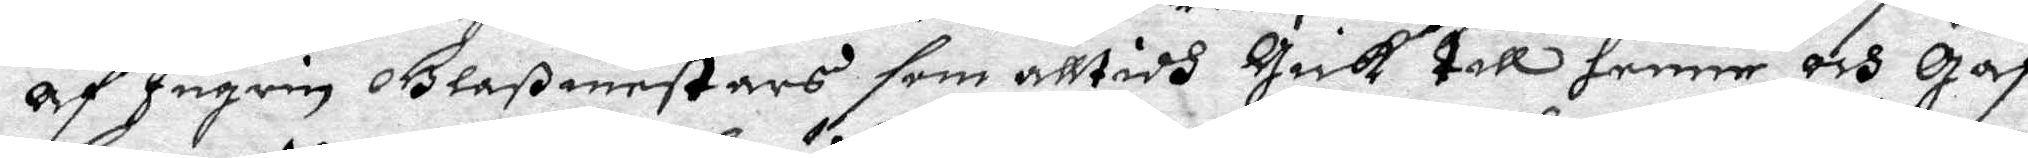af Ingrin Glaßmestars sim alltidh gick till henne och gaf
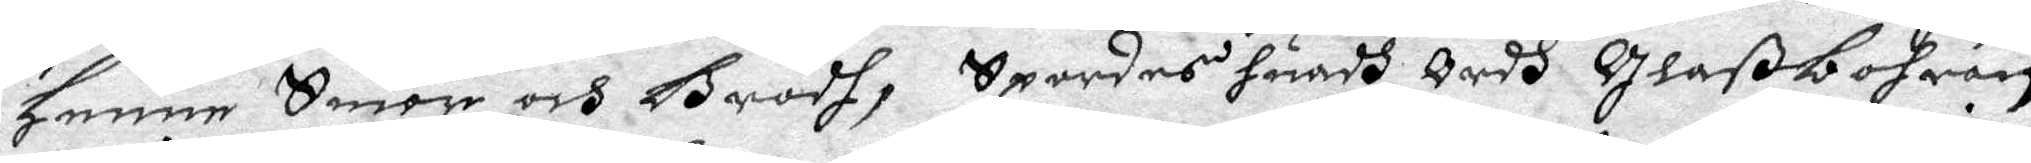henne Smör och Brödh, Spordes huadh Ordh glaßbohran
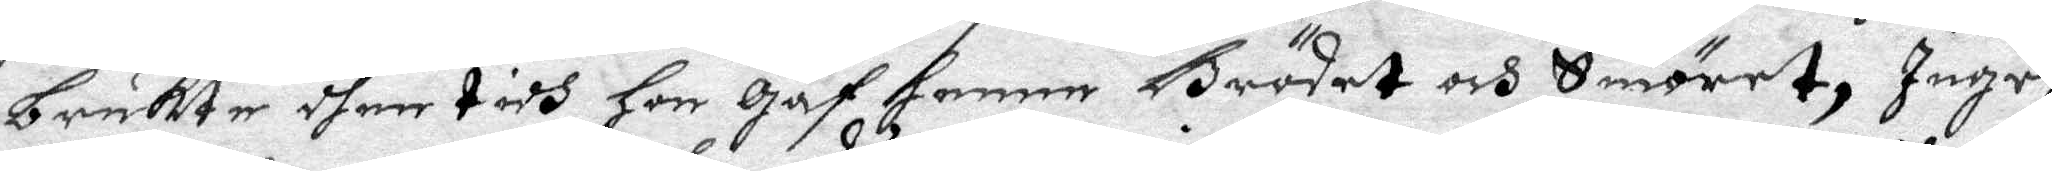brukte dhen tidh Hon gaf henne Brödet och Smöret, Ingri
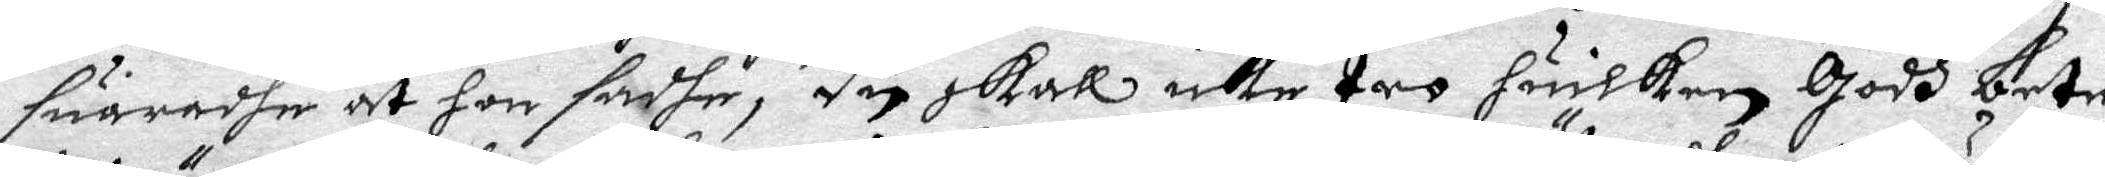suaradhe at hon sadhe, du skall icke tro huilken godh bete
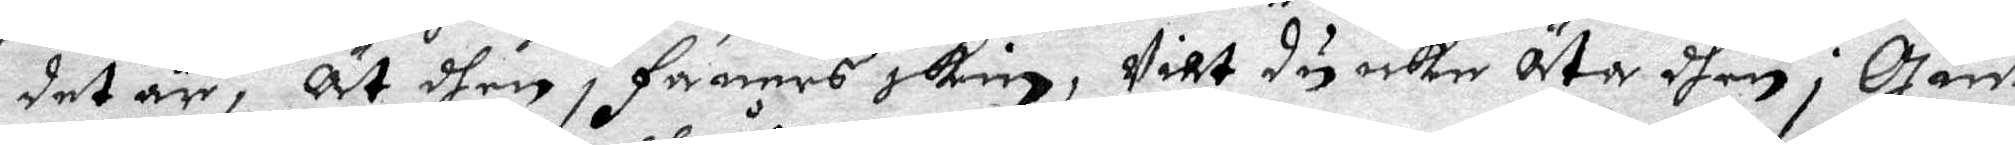det är, Ät dhen i Faners skin, Vilt du icke Äta dhen i gudz
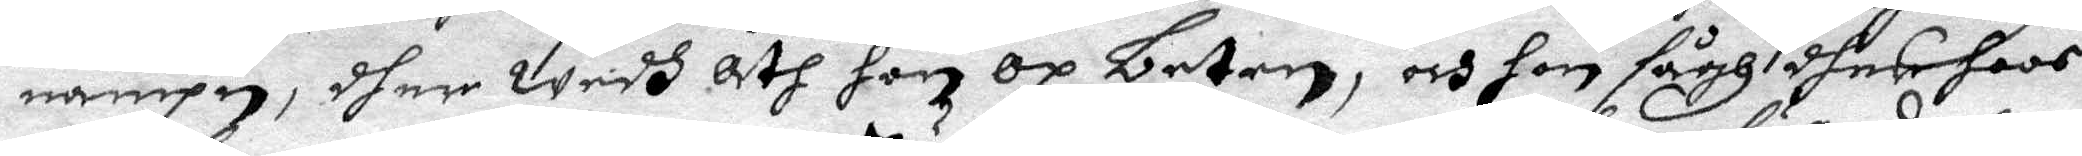nampn, dher widh åth hon Oå beteb, och hon sågh dhes hoos
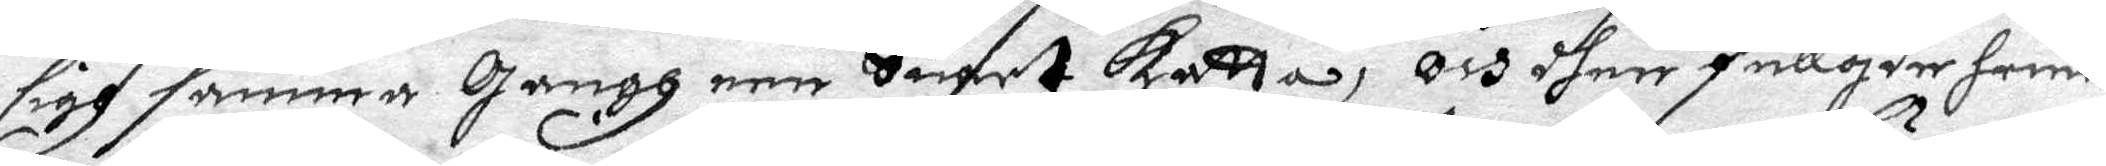sigh samma gangh een Suart katta, Och dher fullgde henne
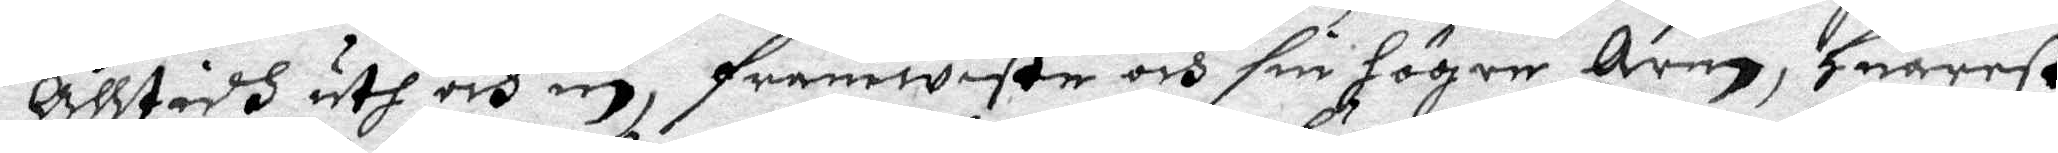Alltidh uth och in, framwiste och sin högre Arm, Huarest
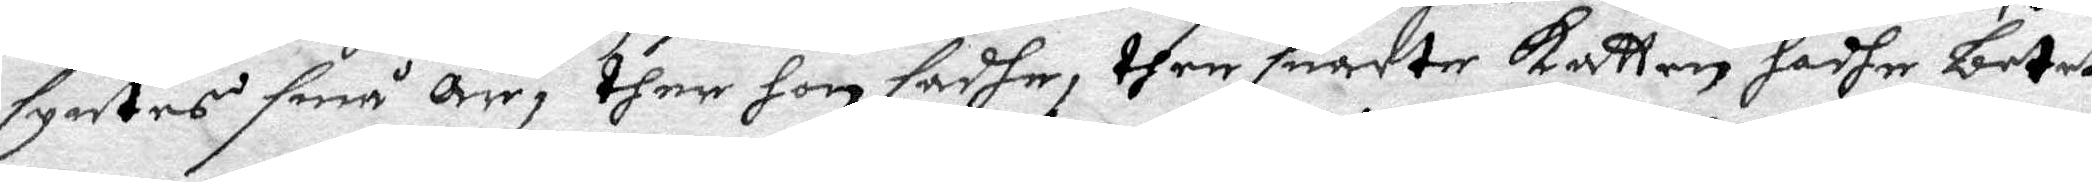syntes små Ärr, then hon sadhe, then suarte katten hadhe betet
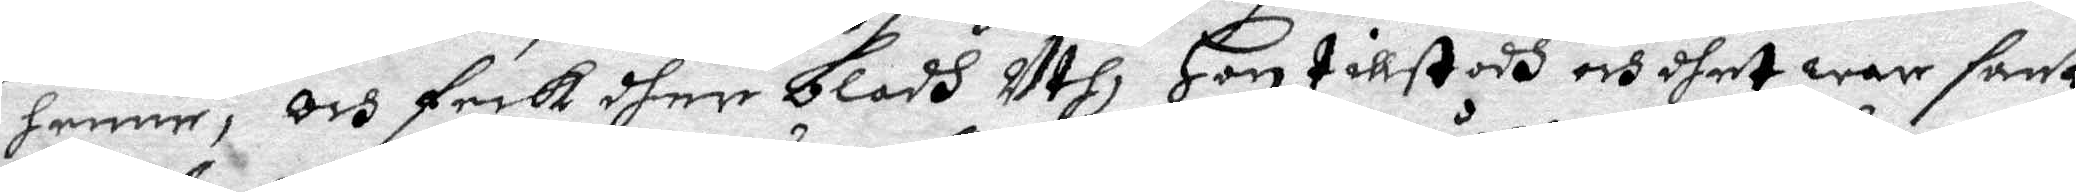henne, Och feck dher blodh Uth, Hon tillstodh och dhet war sant
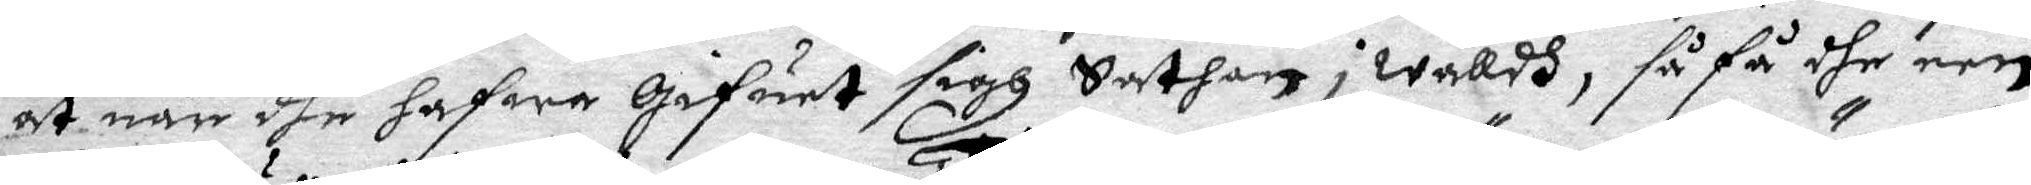at när dhe hafwa gifuet sigh Sathan i wålldh, så få dhe een
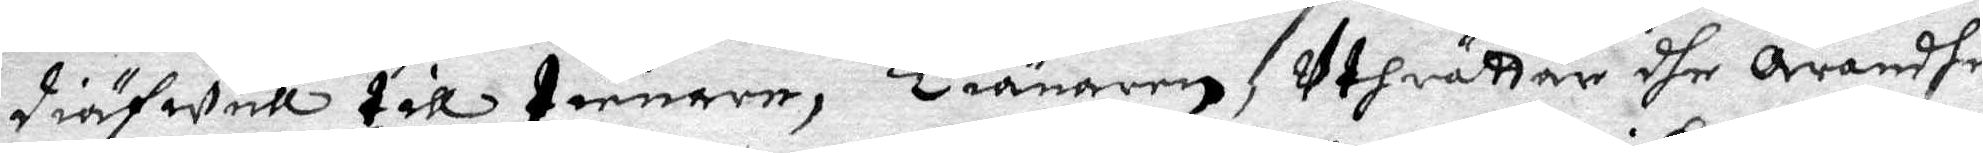diäfwull till tienare, Tiänaren uthrättar dhe Ärendhe
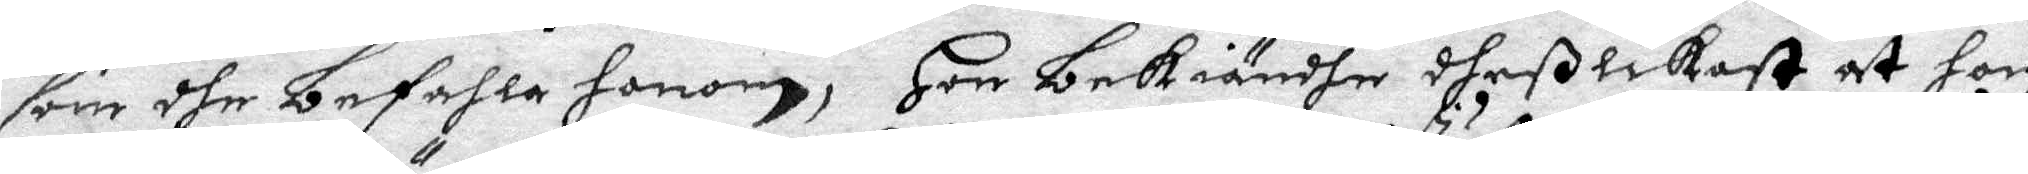som dhe befahla honom, Hon bekiändhe dheß likast at hon
